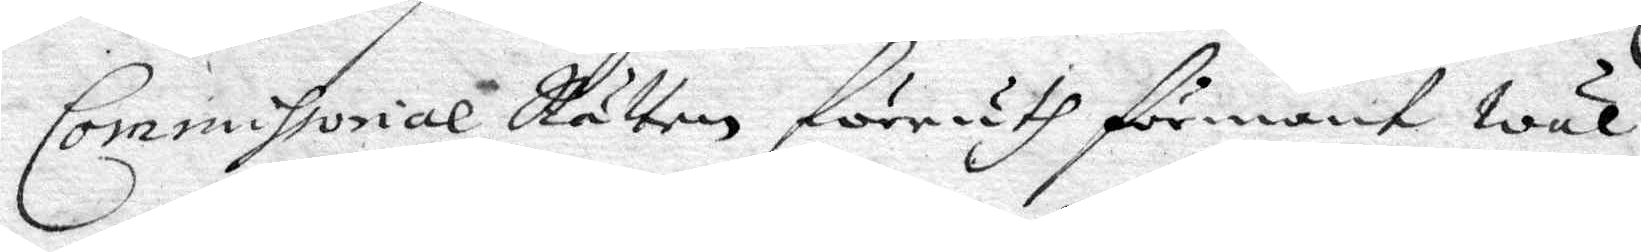Commissorial Rätten föruth förmant wäl
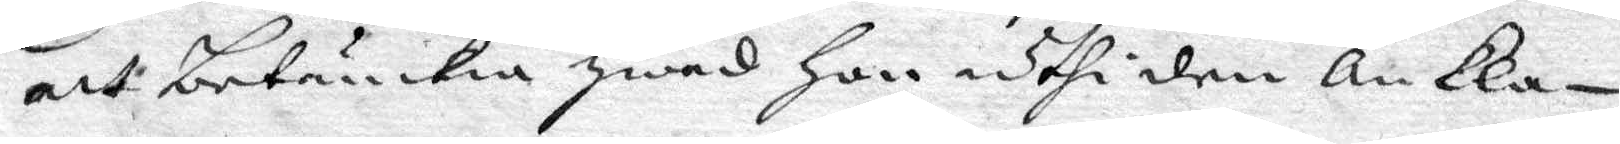att betänckia hwad hon uthi ankla¬
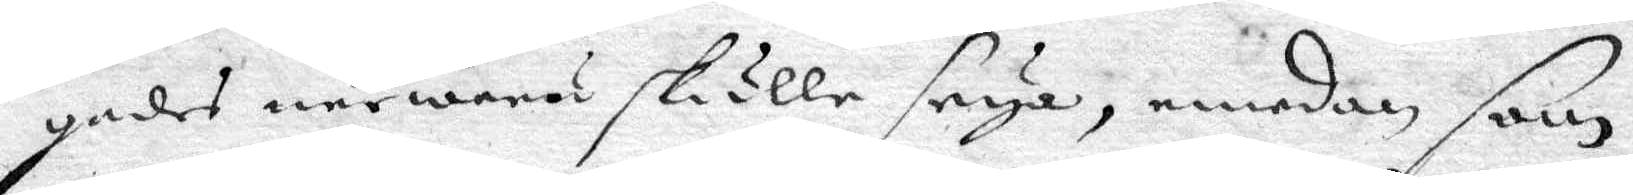gades närwaru skulle seya, emedan som
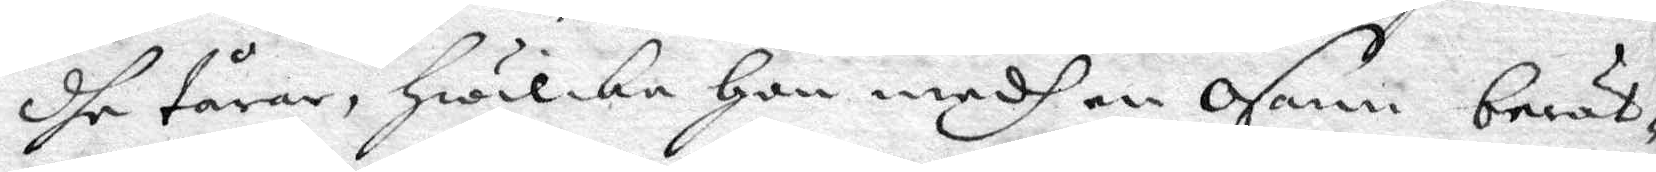dhe tårar, hwilka hon medh en osann berät¬
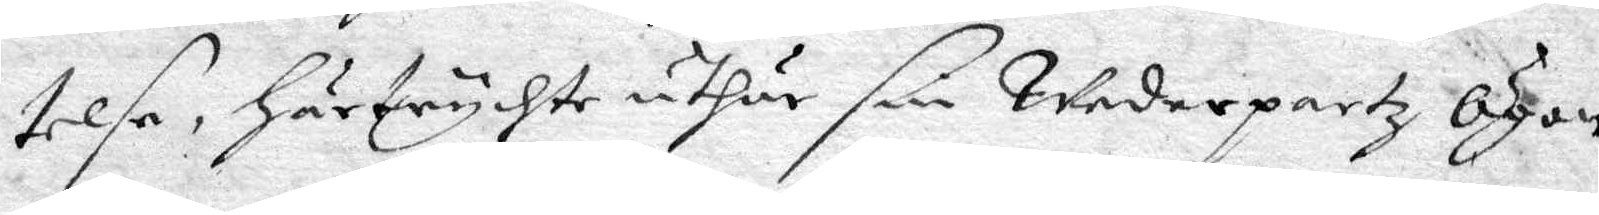telse, härtruchte uthur sin Wederpartz Ögon,
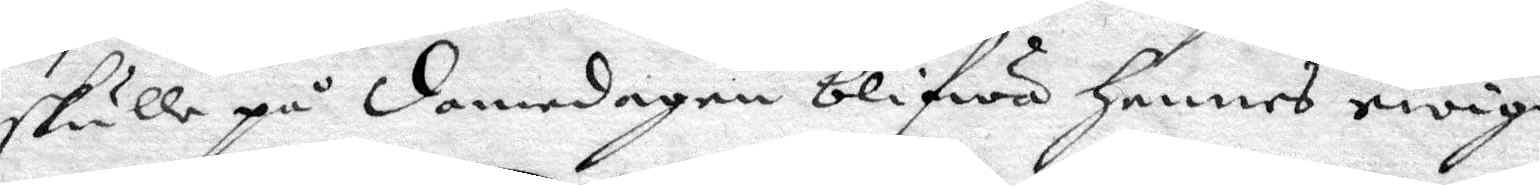skulle på domedagen blifwa hennes ewiga
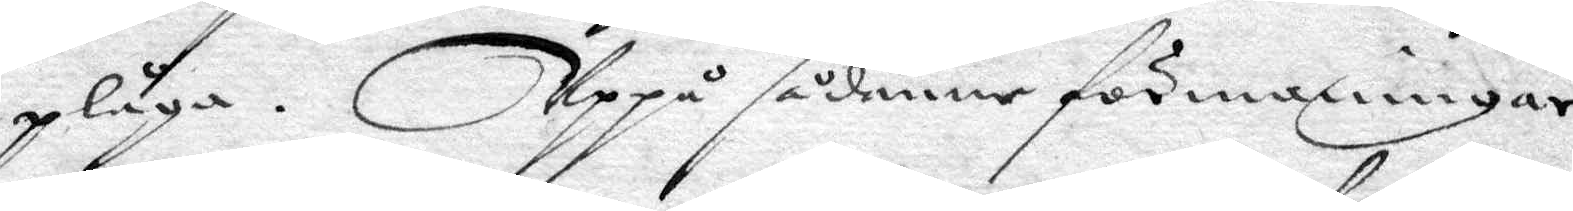plåga. Uppå sådanne förmaningar
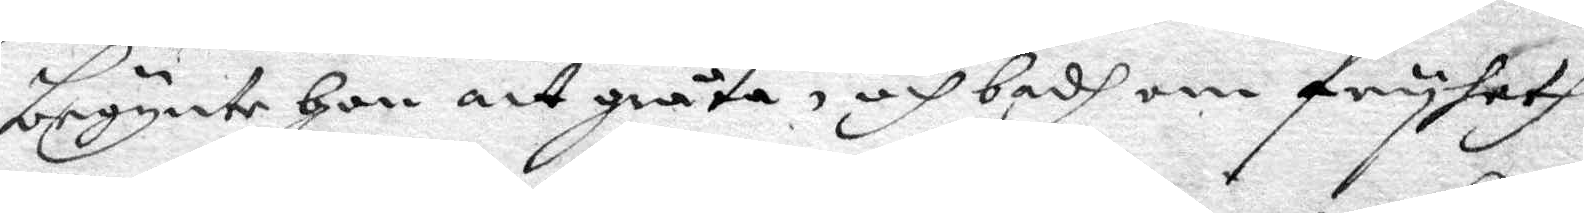begynte hon att gråta, och badh om fryheth
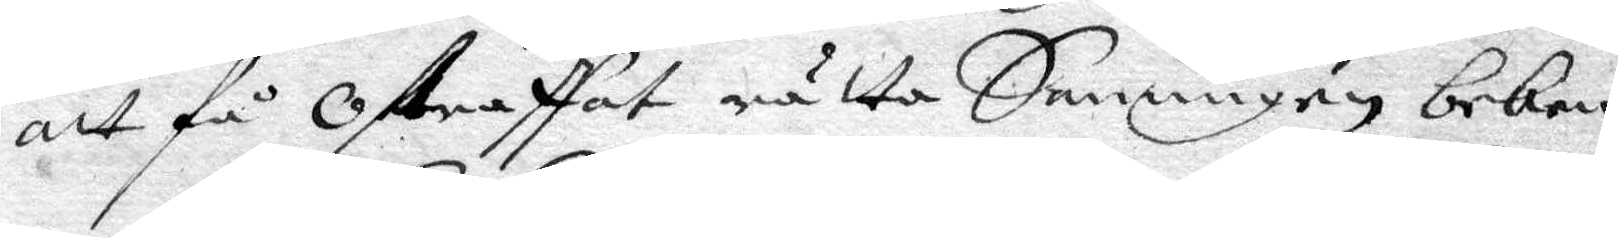att få ostraffat rätta Sanningen beken¬
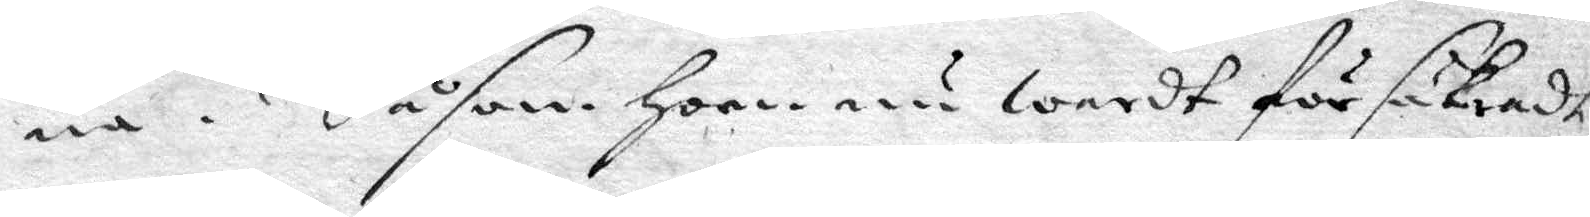na. Såsom hon nu wardt försäkratdt,
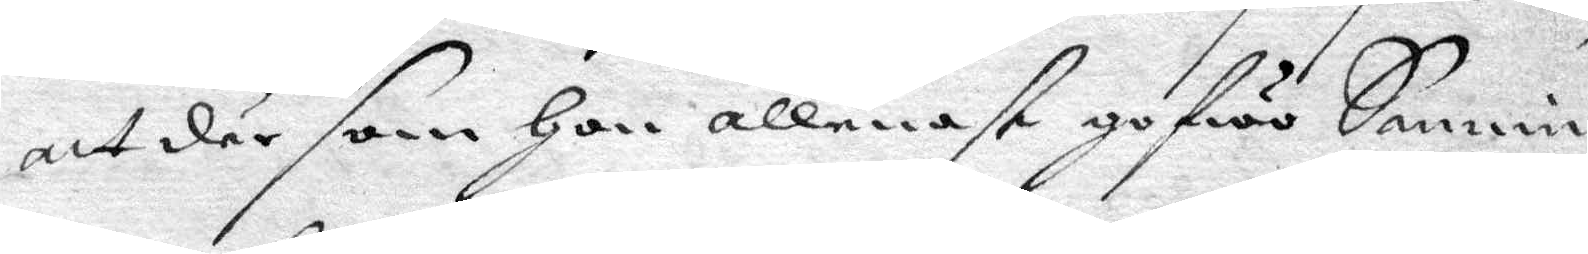att där som hon allenast gofwo Sannin¬
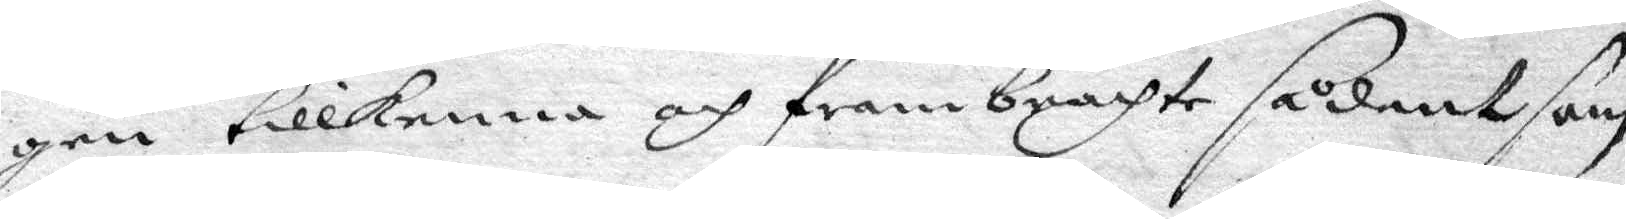gen tillkenna och frambrachte sådant som
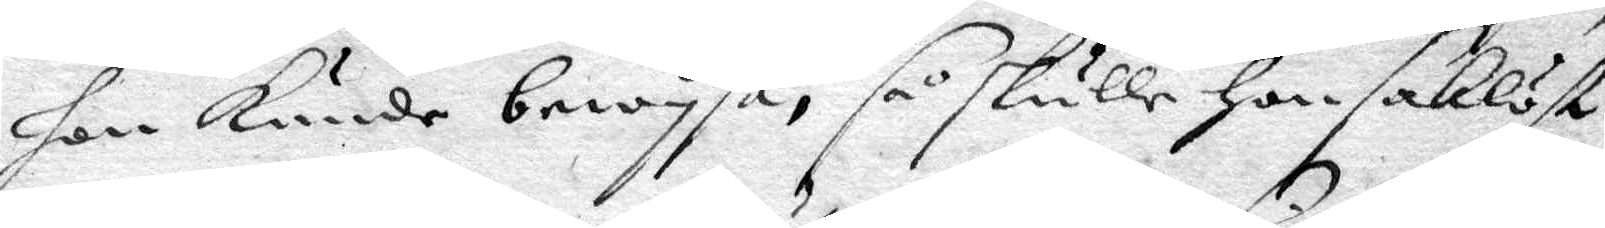hon kunde bewysa, så skulle hon saklöst
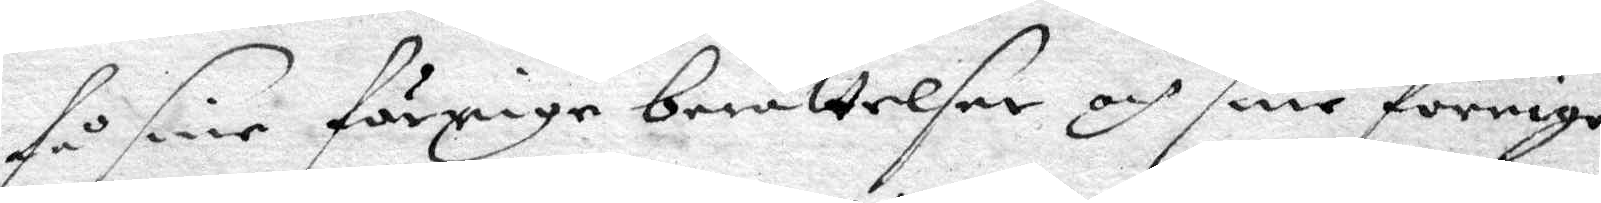få sine frörige berättelser och sine förrige
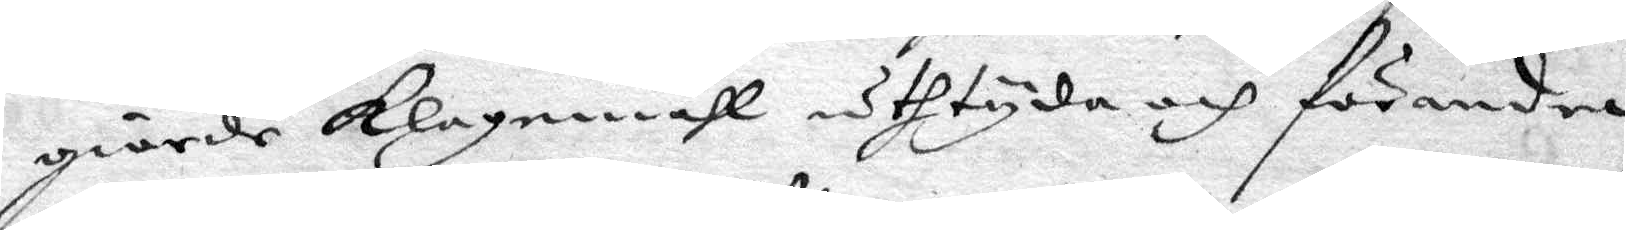giorde klagomåhl uthtyda och förendra,
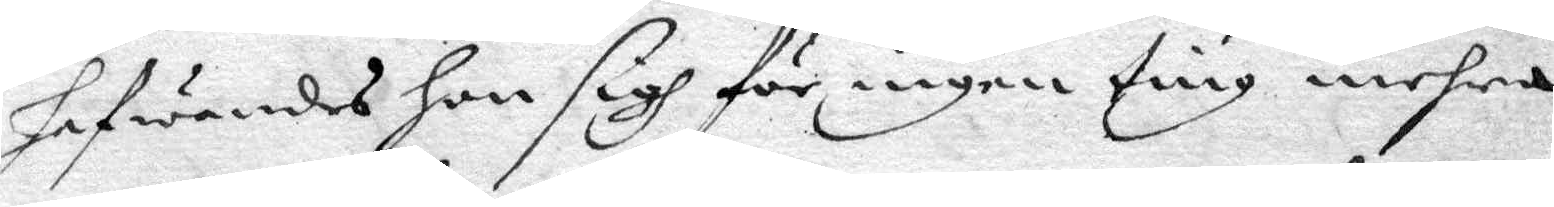hafwandes hon sigh för ingen ting mehra
